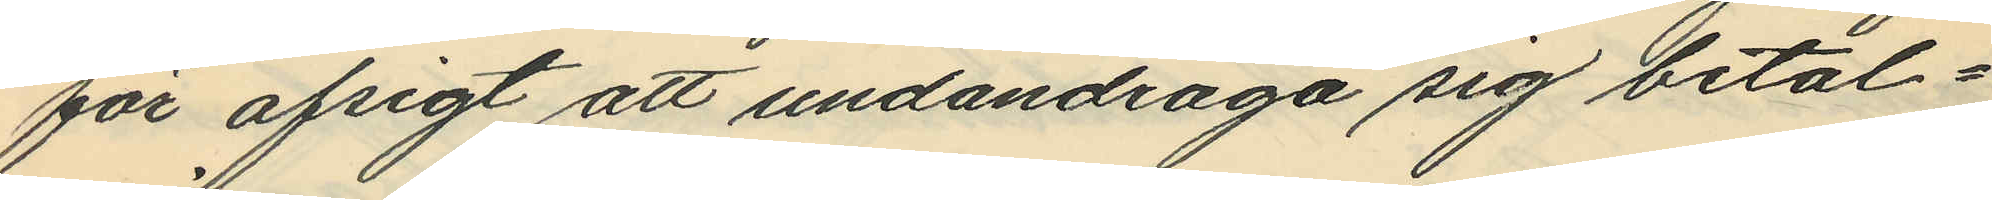för afsigt att undandraga sig betal¬
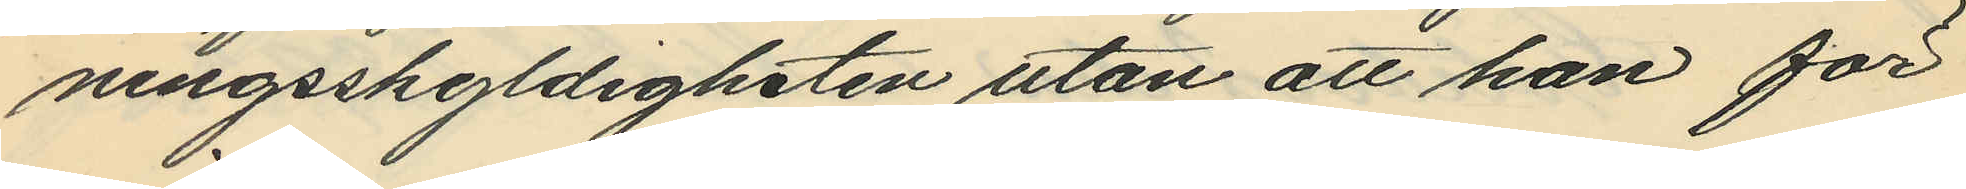ningsskyldigheten utan att han för
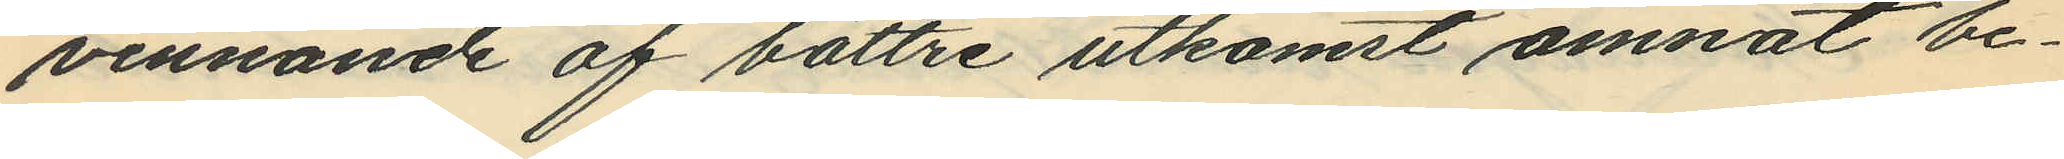vinnande af bättre utkomst ämnat be¬
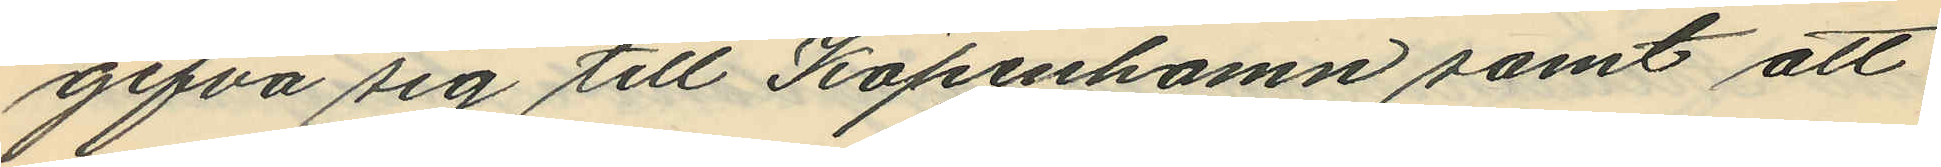gifva sig till Köpenhamn samt att
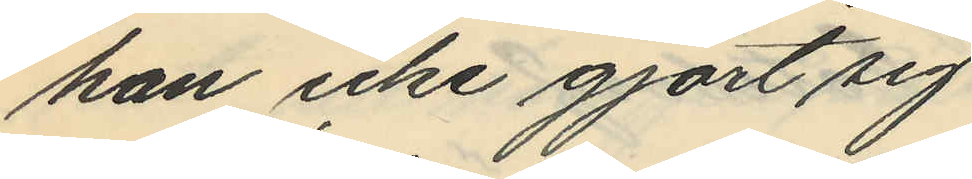han icke gjort sig
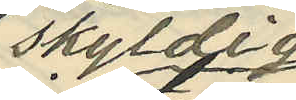skyldig
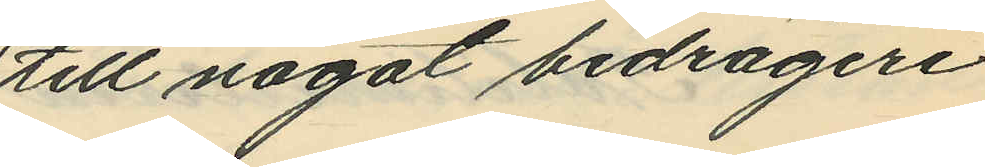till något bedrägeri
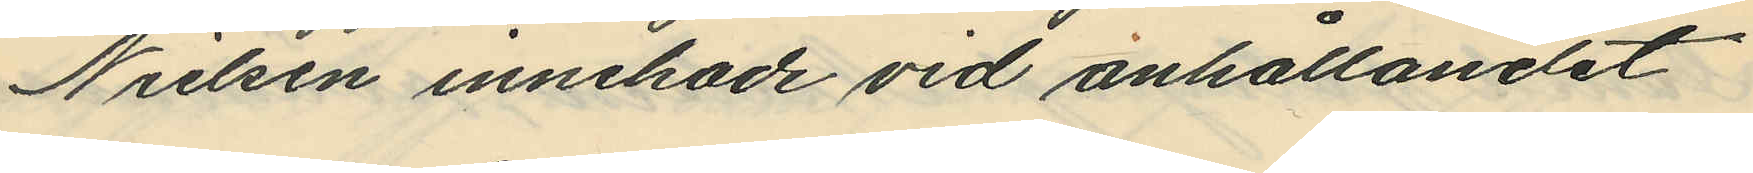Nielsen innehade vid anhållandet
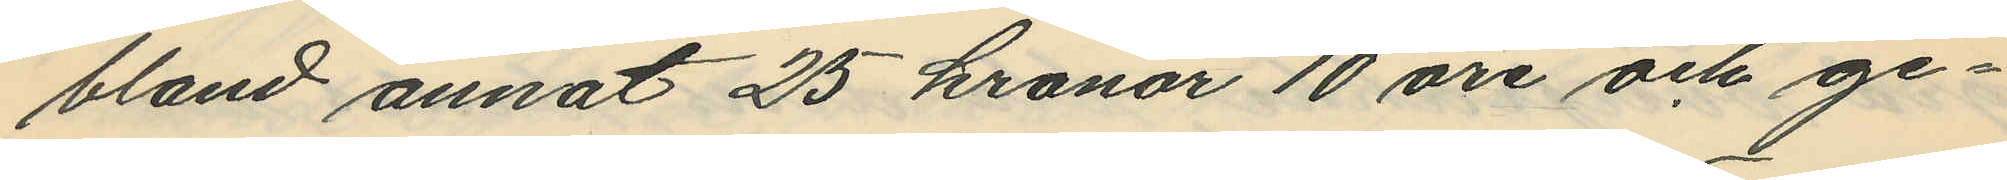bland annat 25 kronor 10 öre och ge¬
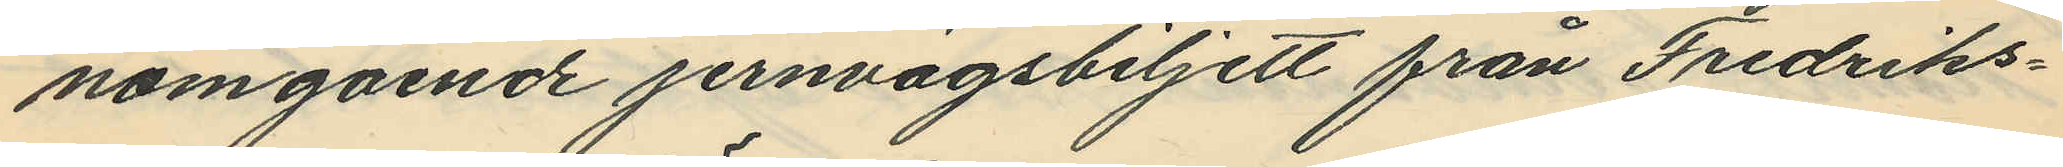nomgående jernvägsbiljett från Fredriks¬
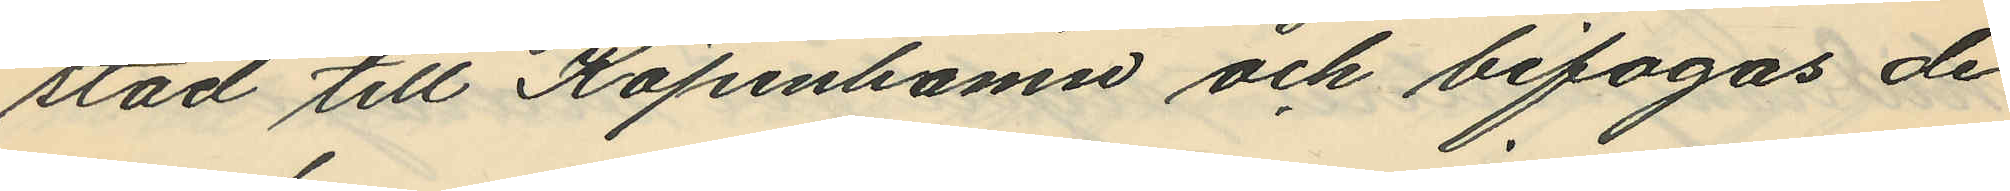stad till Köpenhamn och bifogas de
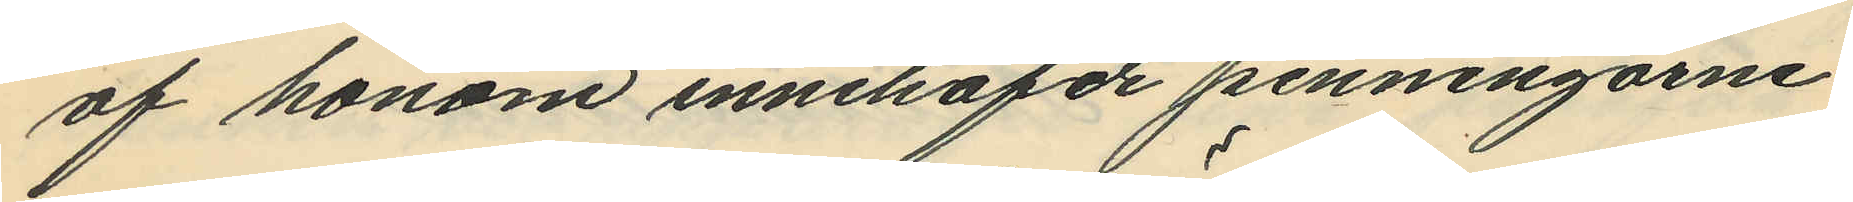af honom innehafde penningarne.
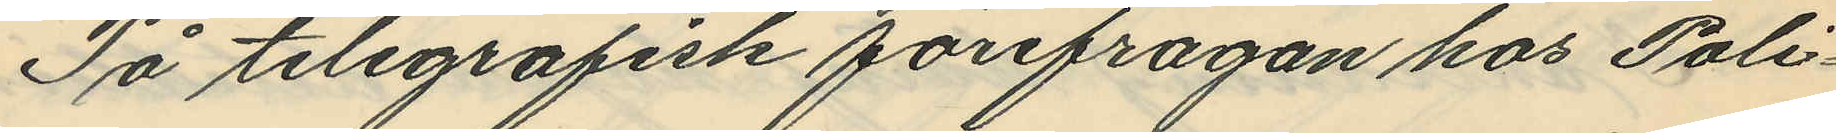På telegrafisk förefragan hos Poli¬
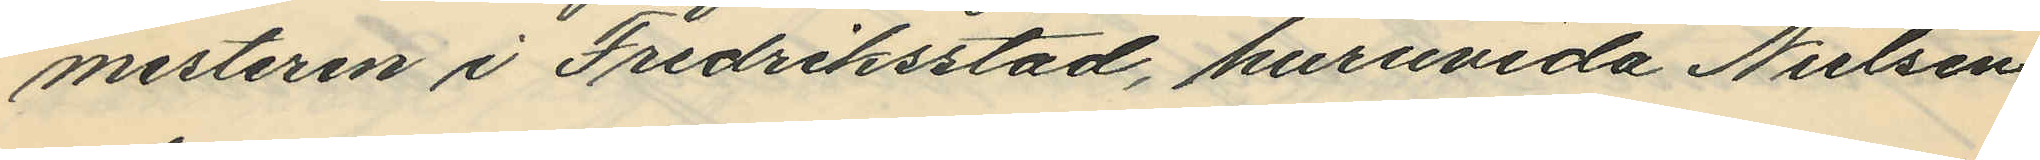mesteren i Fredriksstad, huruvida Nielsen
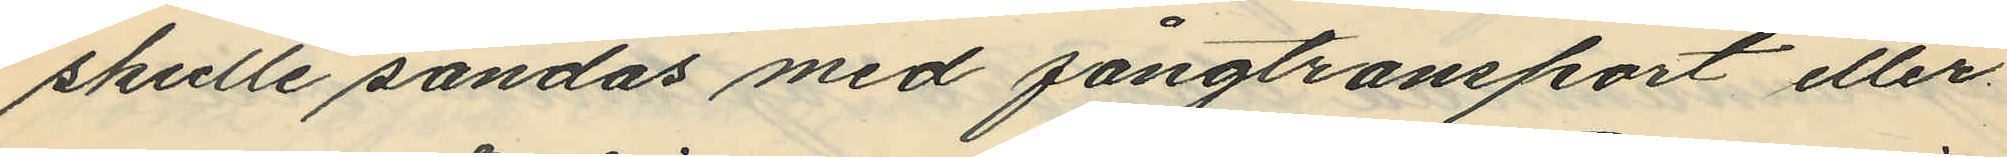skulle sändas med fångtransport eller
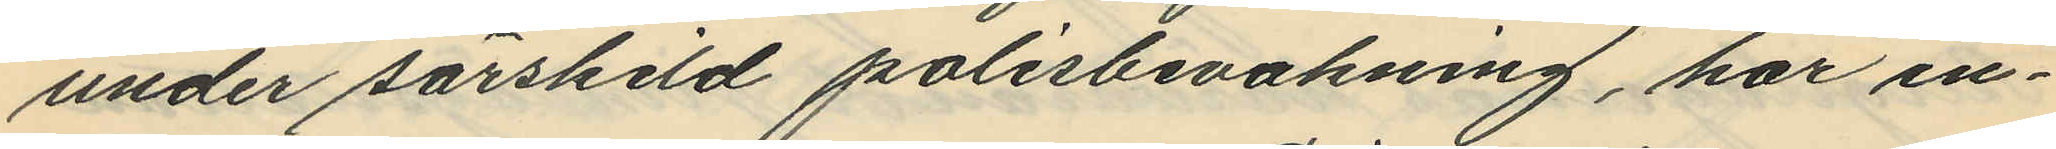under särskild polisbevakning, har in¬
